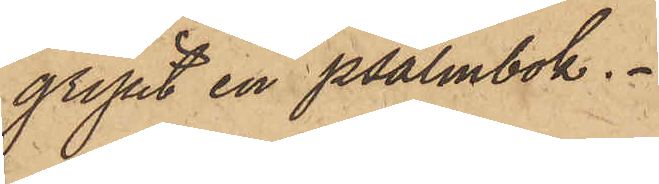gripit en psalmbok.
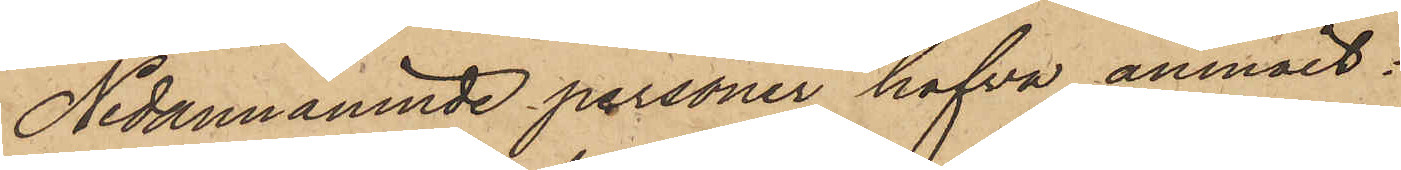Nedannämnde personer hafva anmält:
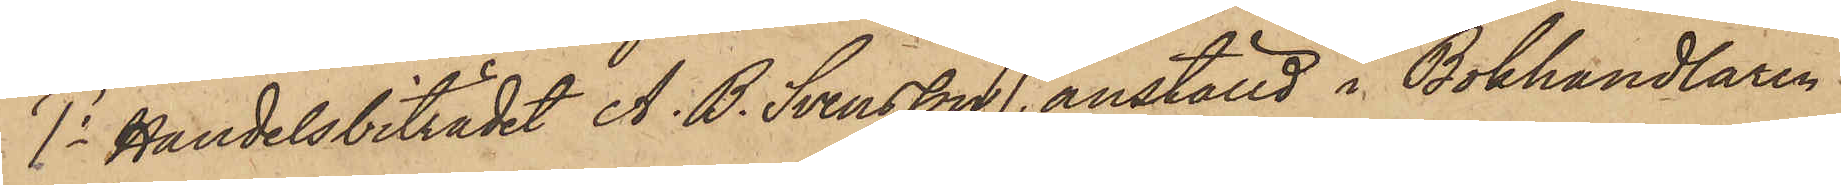1o Handelsbiträdet A. B. Svensson, anställd i Bokhandlaren
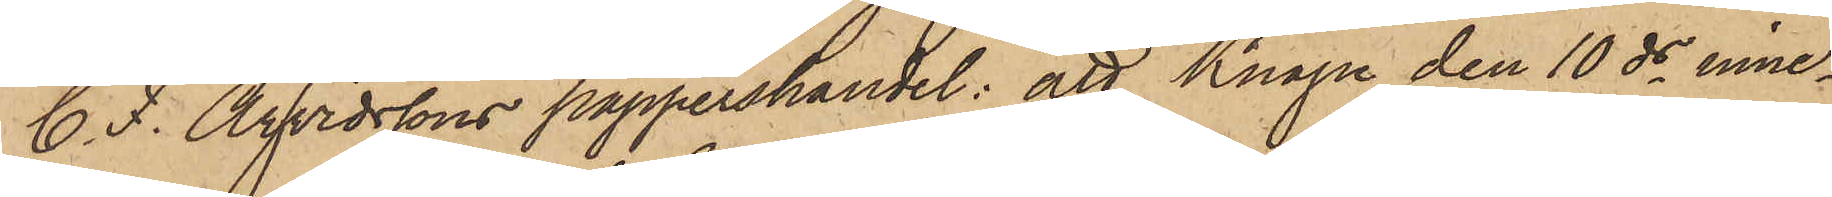C. F. Arvidssons pappershandel; att Knape den 10 ds inne¬
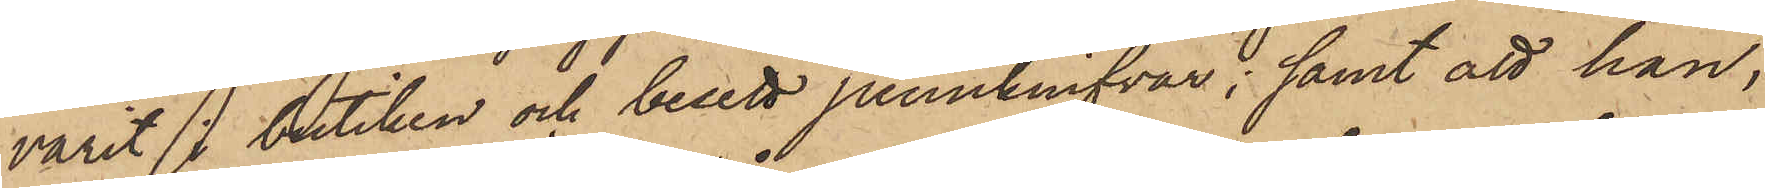varit butiken och besett pennknifvar; samt att han,
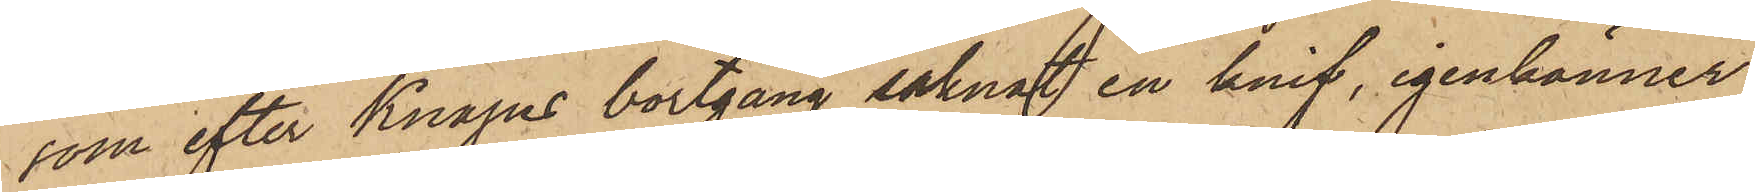som efter Knapes bortgång saknat en knif, igenkänner
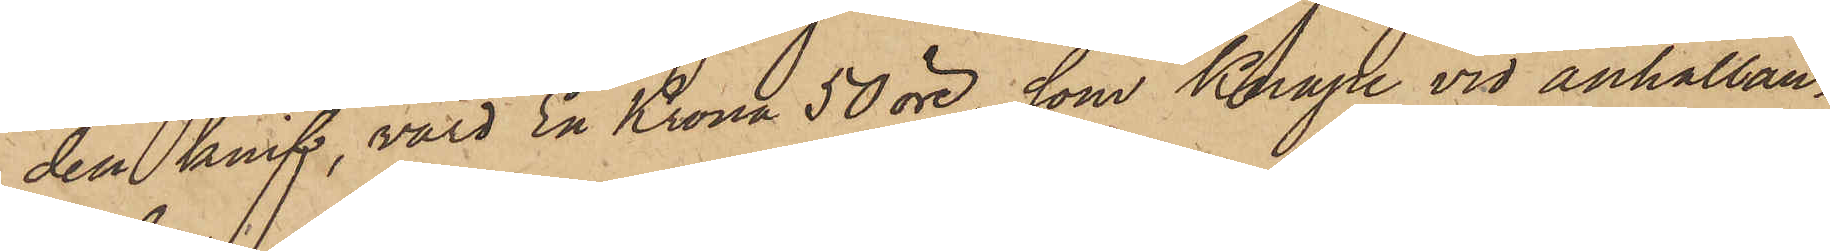den knif, värd En Krona 50 öre, som Knape vid anhållan¬
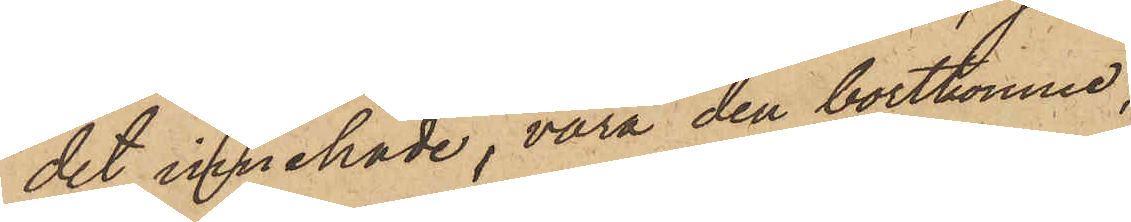det innehade, vara den bortkomne,
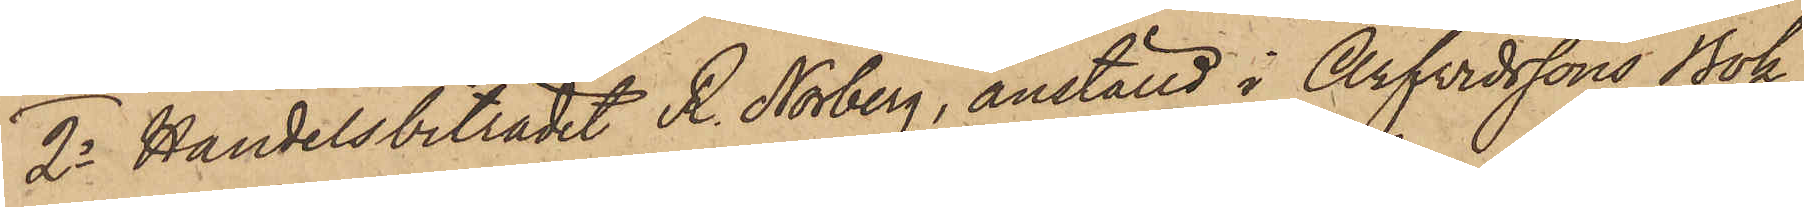2o Handelsbiträdet R. Norberg, anställd i Arfvidssons Bok¬
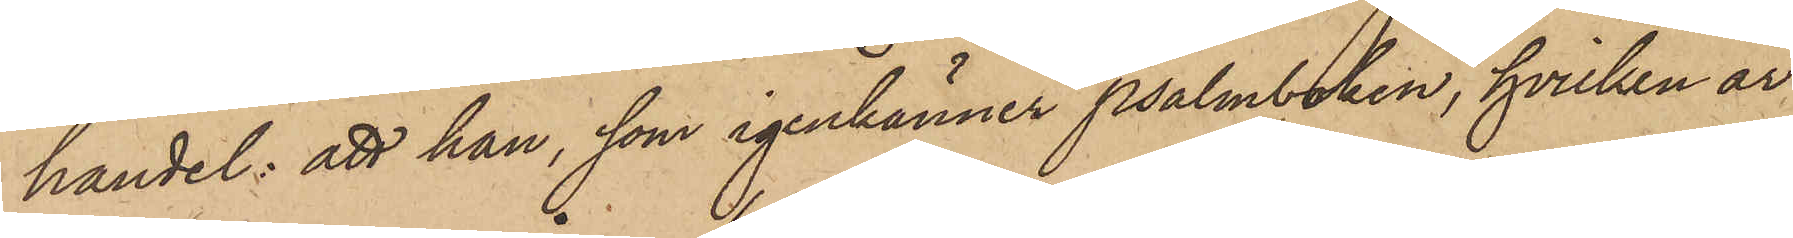handel: att han, som igenkänner psalmboken, hvilken är
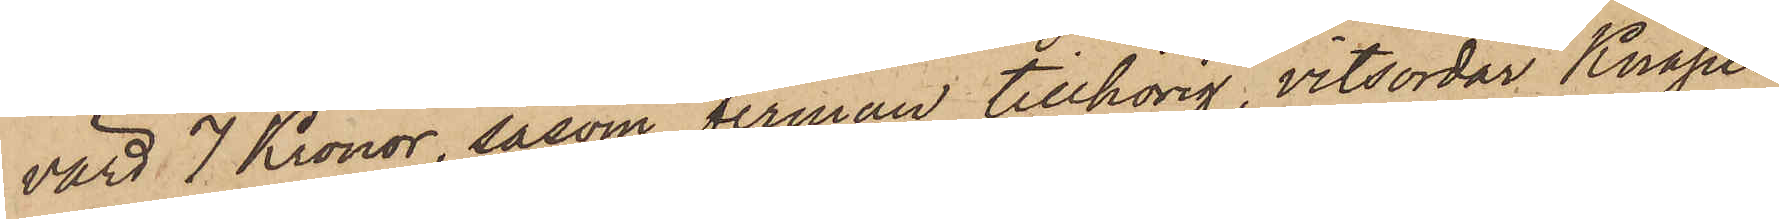värd 7 Kronor, såsom firman tillhörig, vitsordar Knapes¬
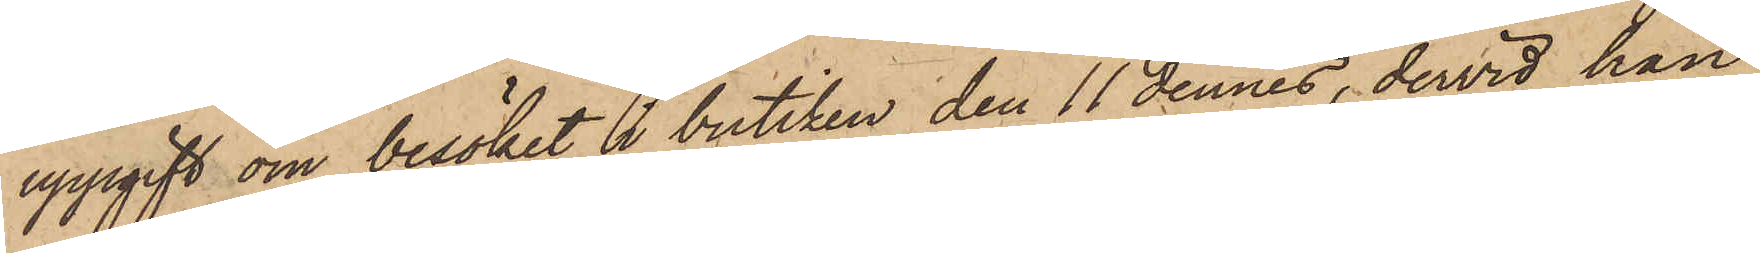uppgift om besöket i butiken den 11 dennes, dervid han
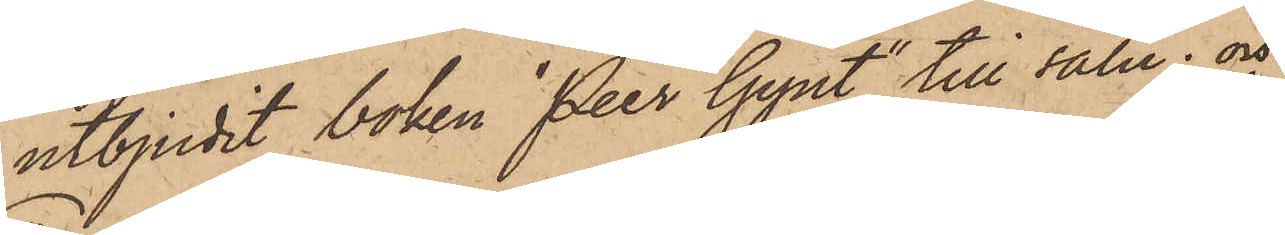utbjudit boken "Peer Gynt" till salu; och
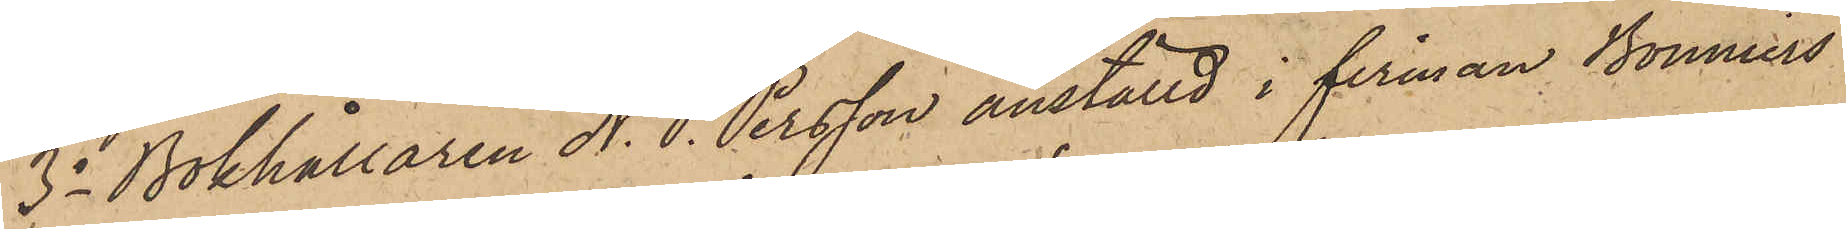3o Bokhållaren N. P. Persson anställd i firman Bonniers
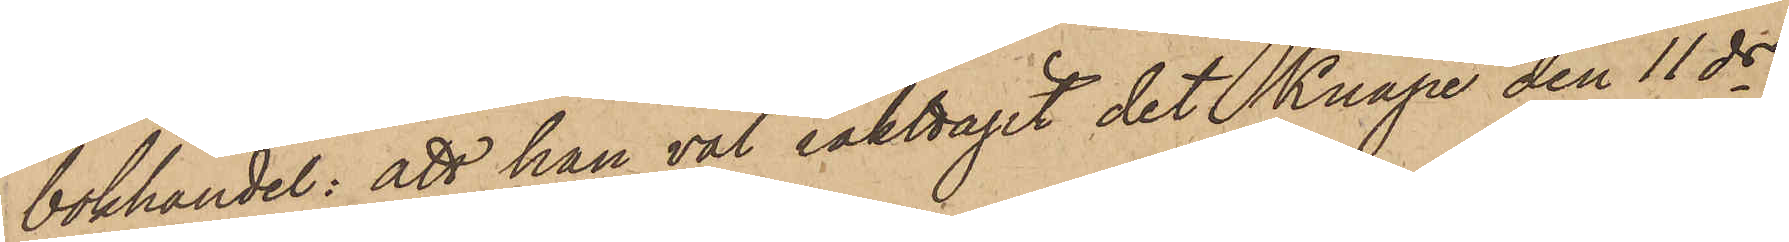bokhandel: att han väl iakttagit det Knape den 11 ds
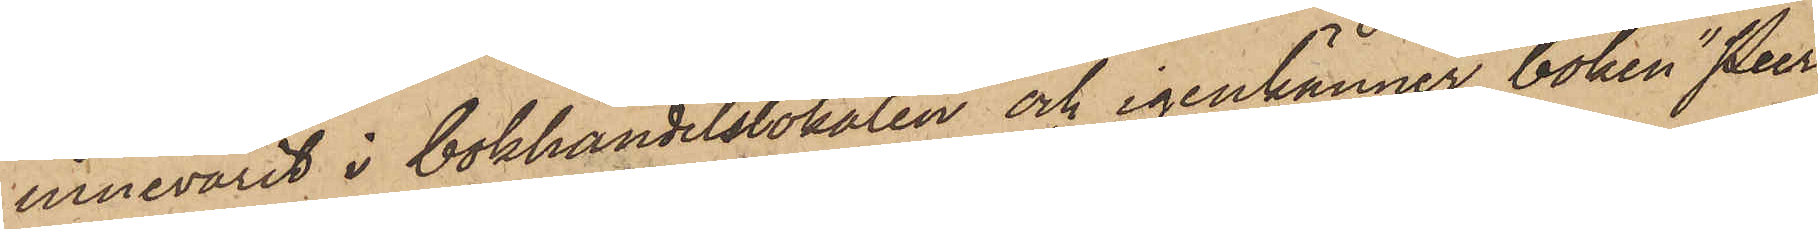innevarit i bokhandelslokalen och igenkänner boken "Peer
